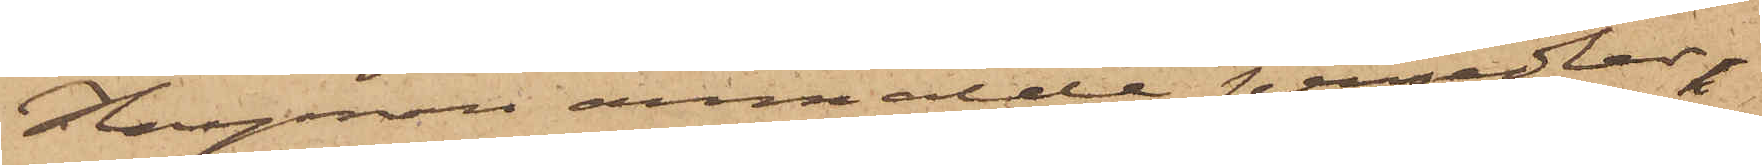Hayman anmälde persedlar,
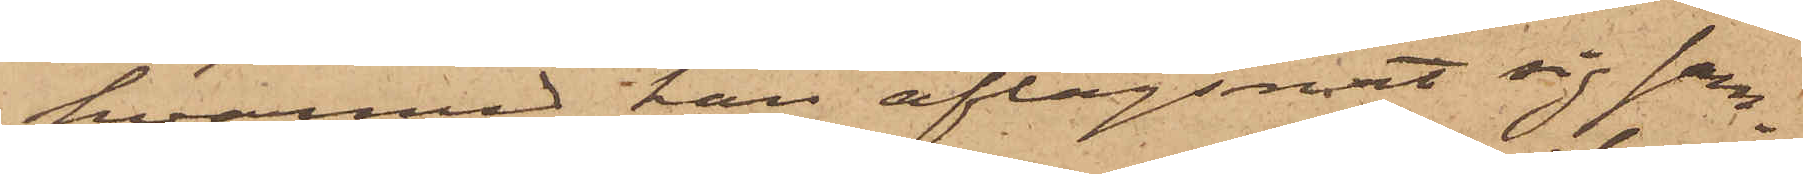hvarmed han aflägsnat sig sam¬
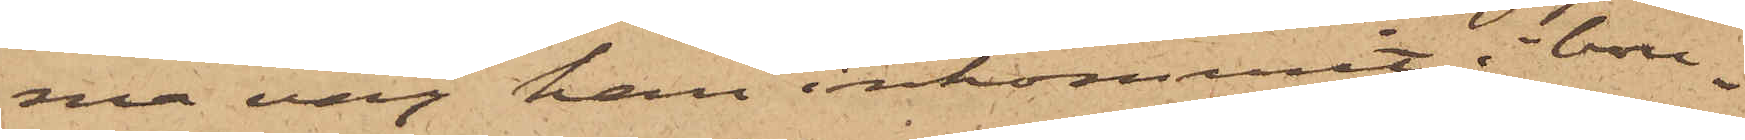ma väg han inkommit i bou¬
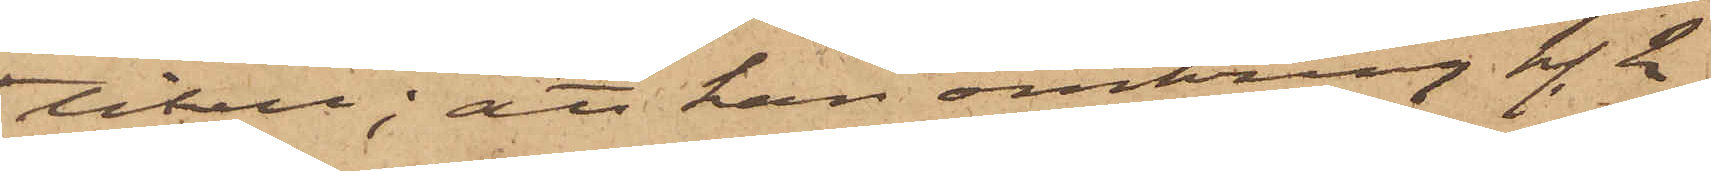tiken; att han omkring kl. 2
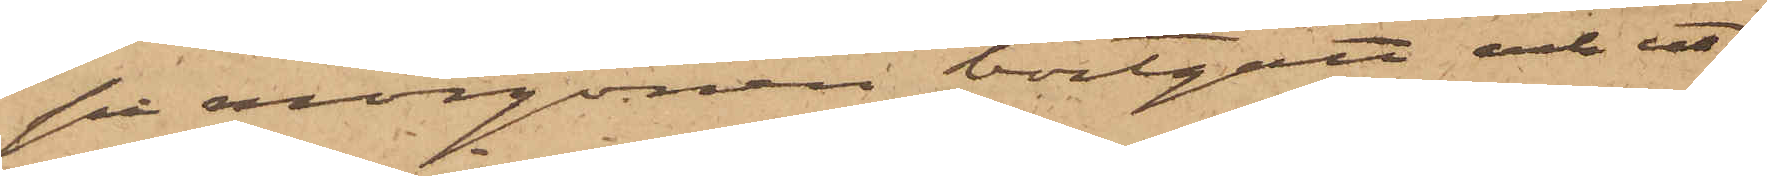på morgonen bortgått och ut¬
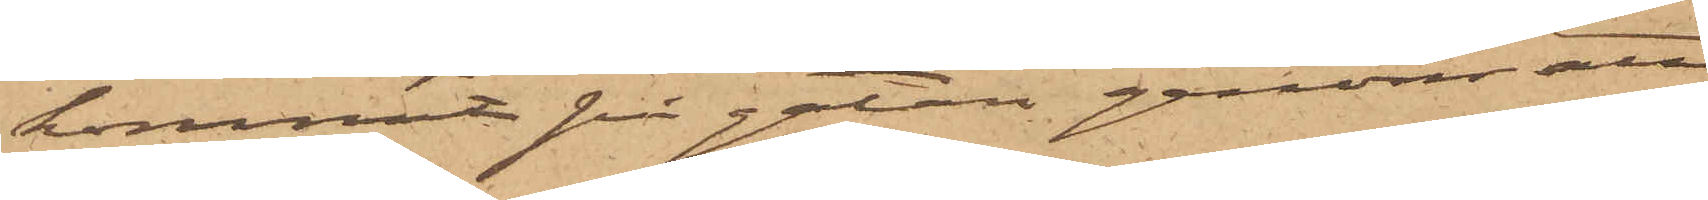kommit på gatan genom att
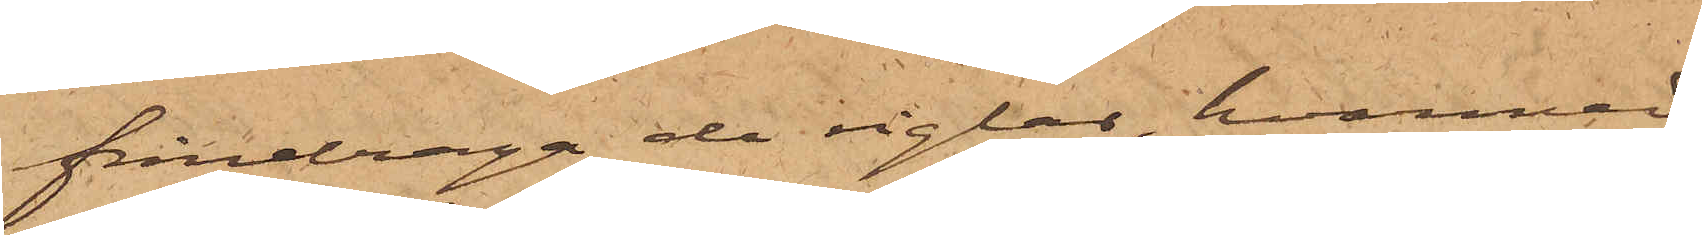fråndraga de reglar, hvarmed
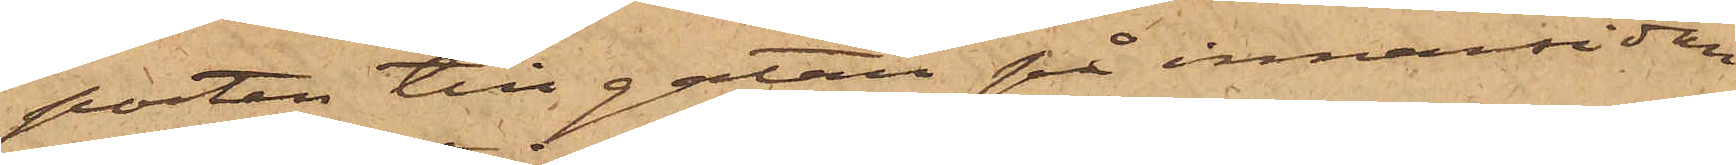porten till gatan på innansidan
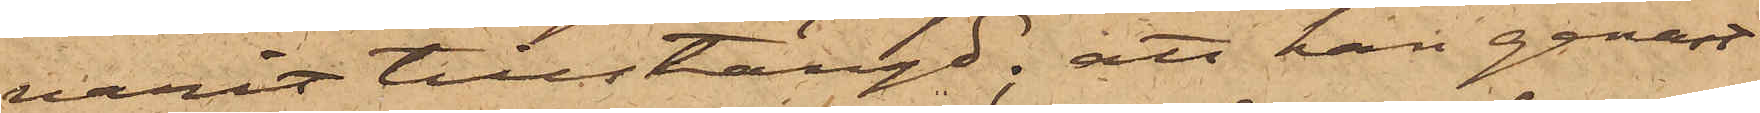varit tillstängd; att han genast
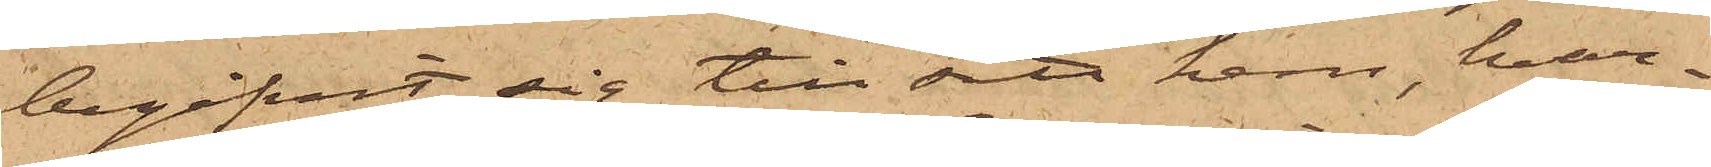begifvit sig till sitt hem, hvar¬
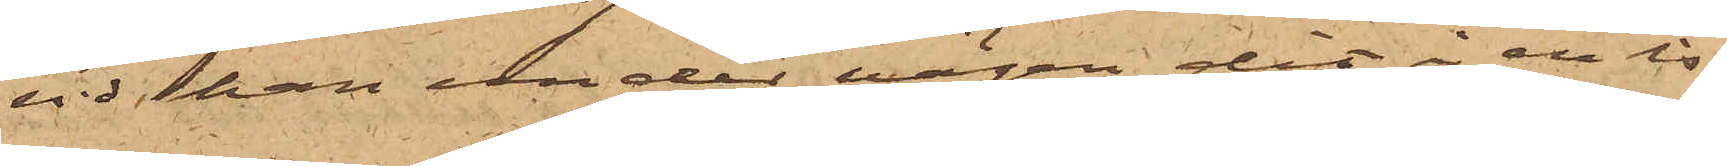vid han under vägen dit i en is¬
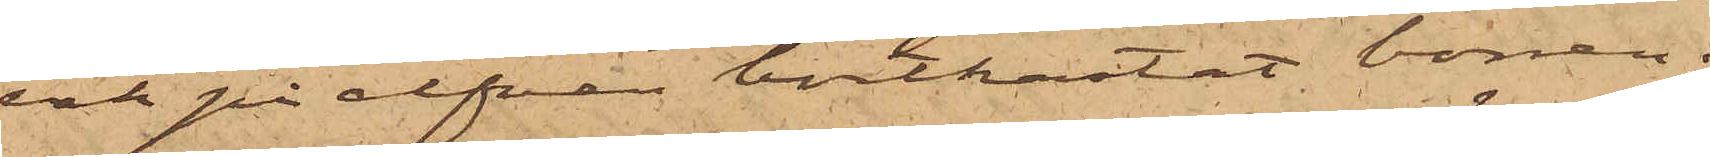vak på elfven bortkastat borren;
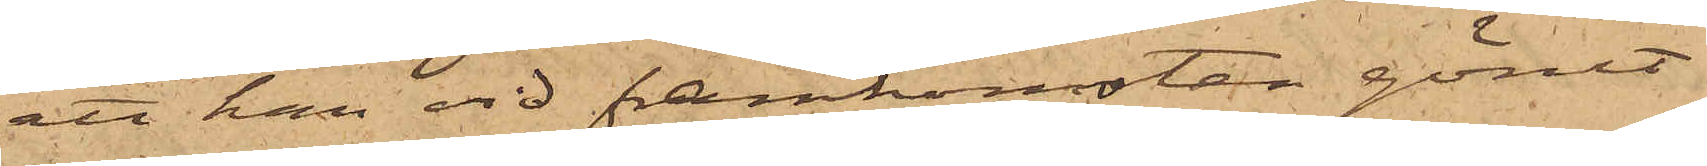att han vid framkomsten gömt
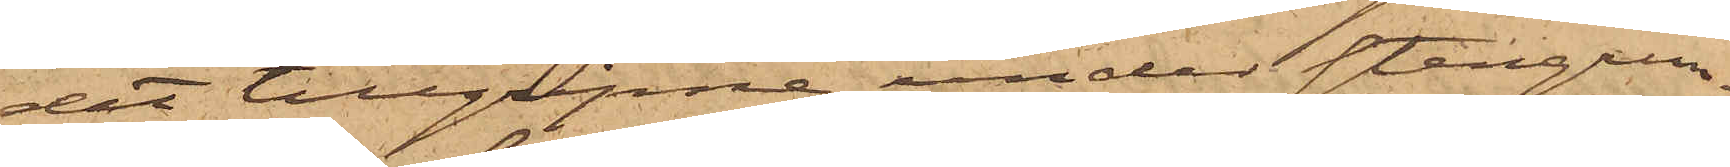det tillgripne under stengrun¬
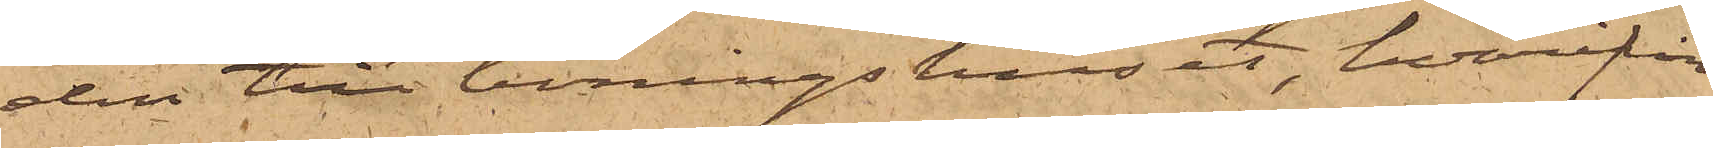den till boningshuset, hvarifrån
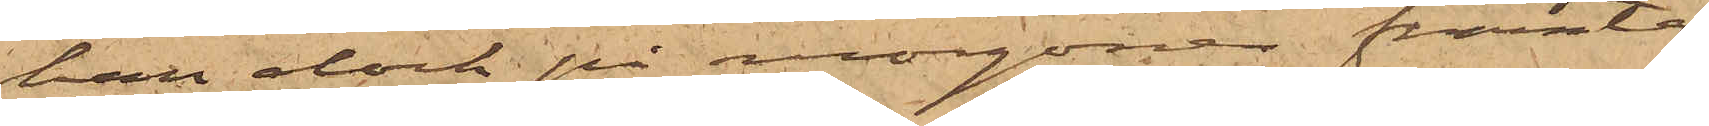han dock på morgonen framta¬
